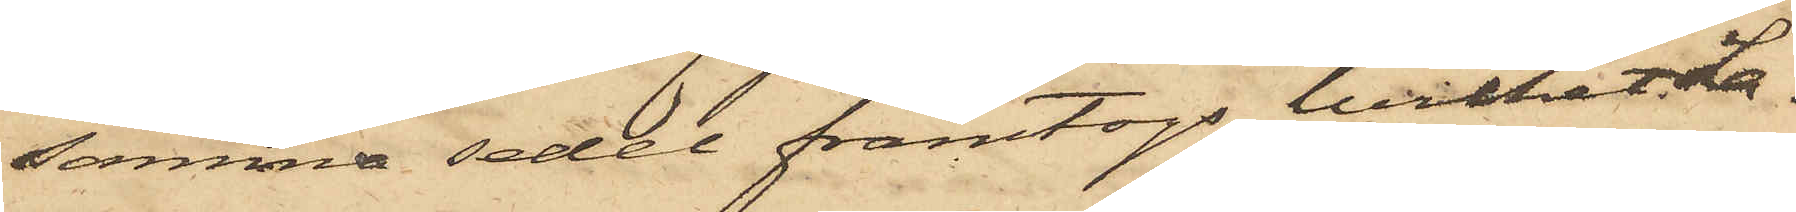samma sedel framtogs, hvilket La¬
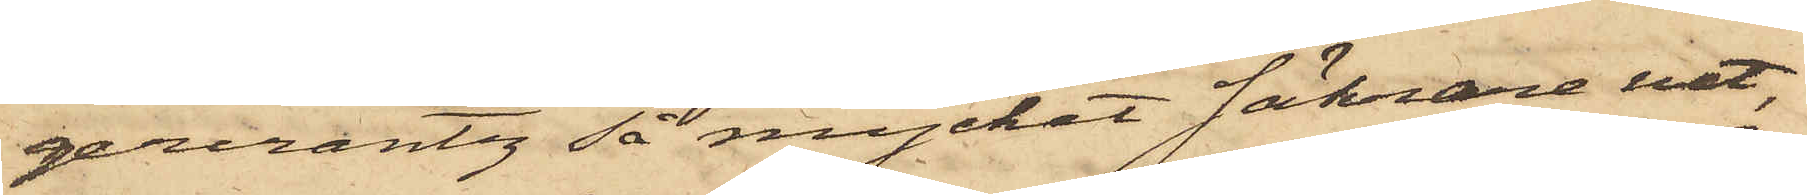gercrantz så mycket säkrare vet,
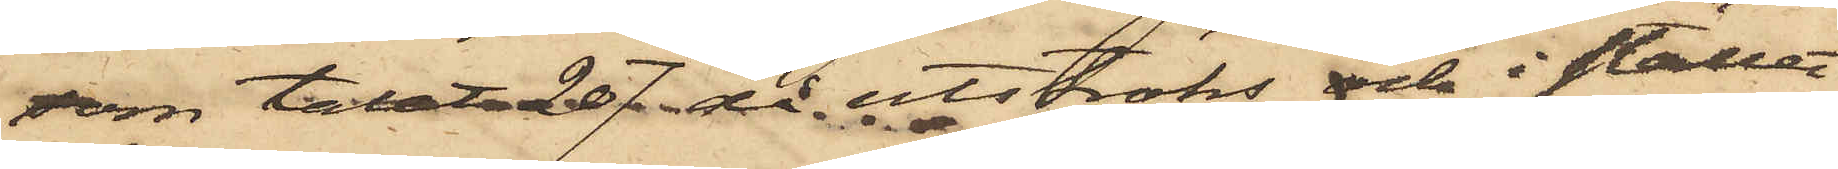som talet 207 då utströks och i stället
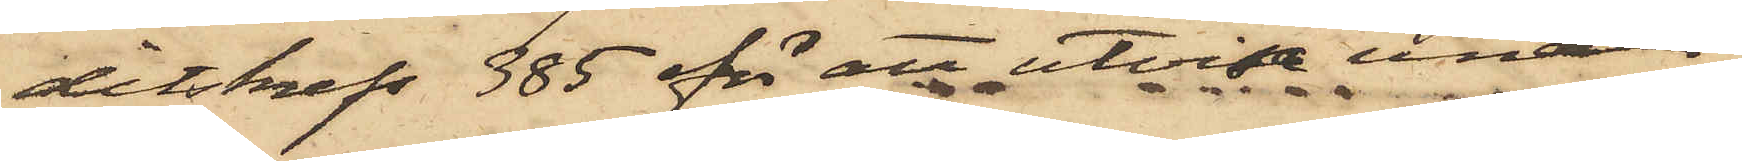ditskrefs 385 för att utvisa under
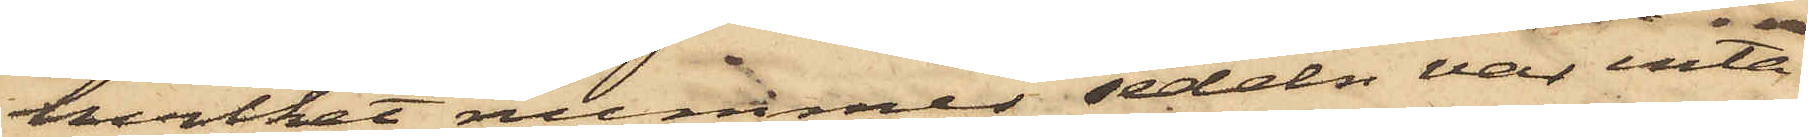hvilket nummer sedeln var inta¬
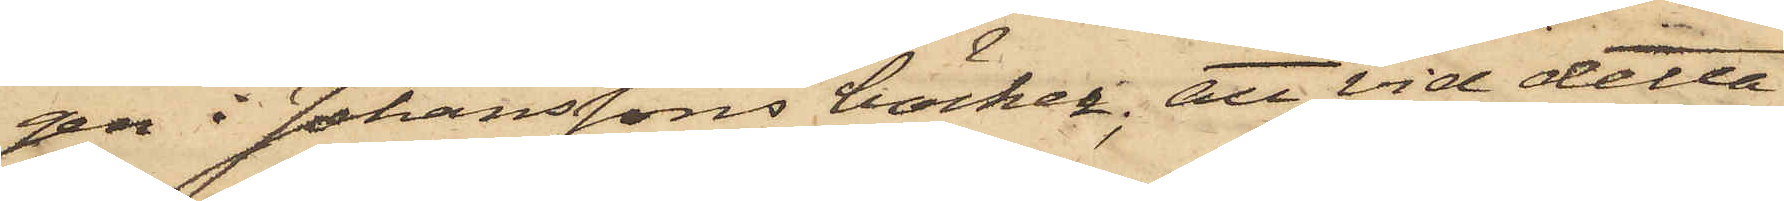gen i Johanssons böcker; att vid detta
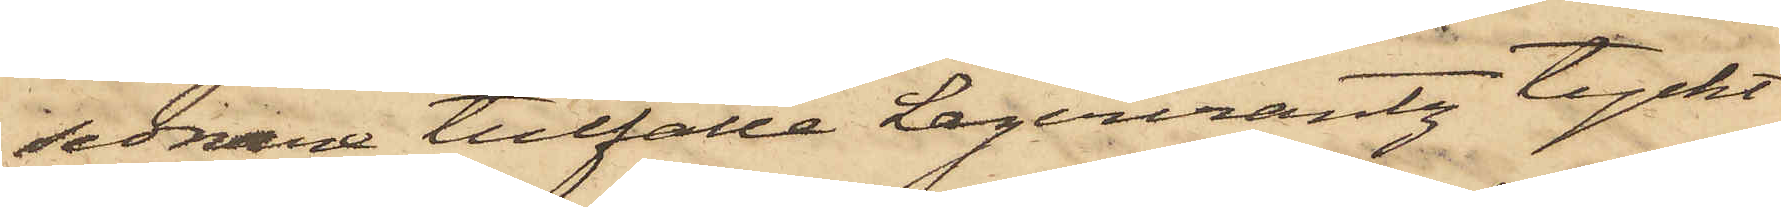sednare tillfälle Lagercrantz tyckt
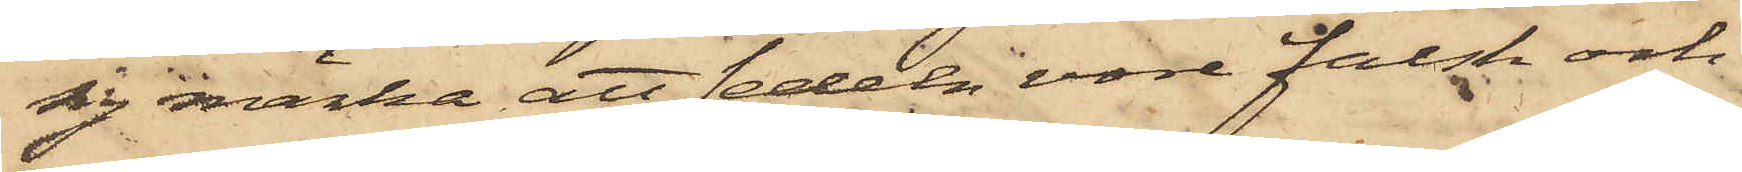sig märka att sedeln vore falsk och
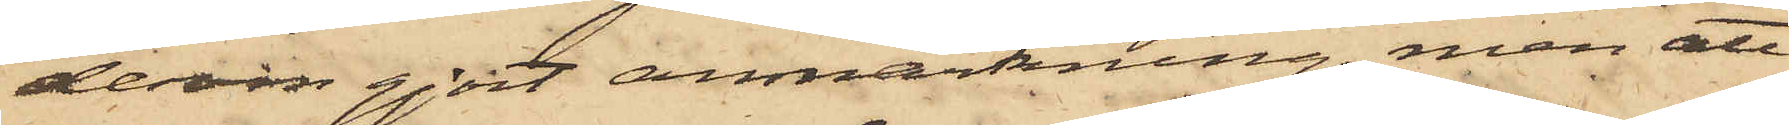derom gjort anmärkning, men att
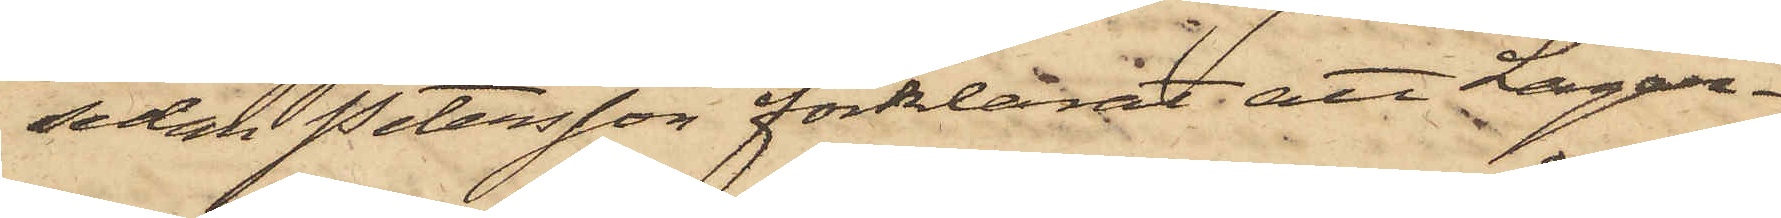sedan Petersson förklarat, att Lager¬
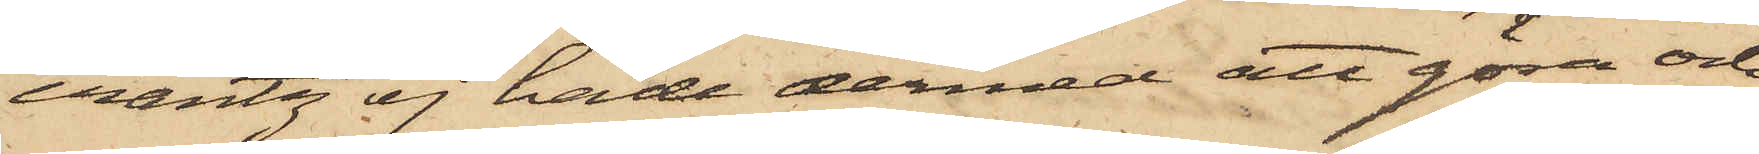crantz ej hade dermed att göra och
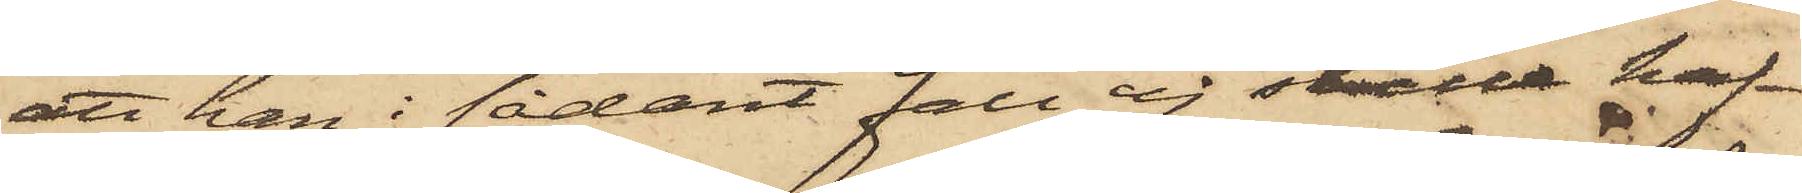att han i sådant fall ej skulle haf¬
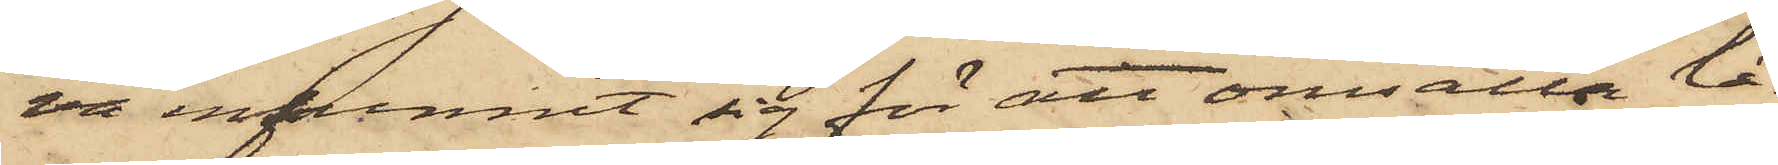va infunnit sig för att omsätta lå¬
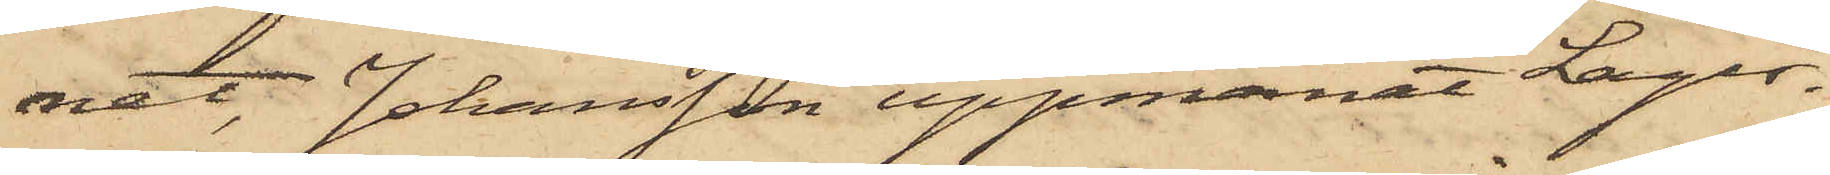net, Johansson uppmanat Lager¬
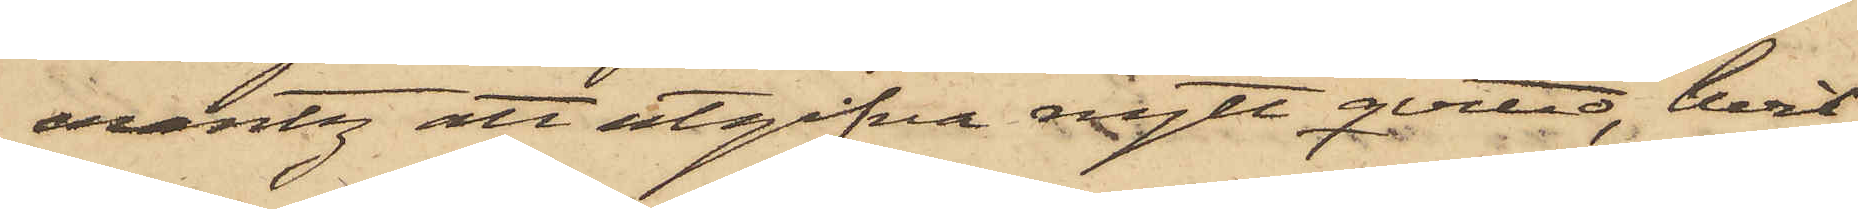crantz att utgifva nytt qvitto, hvil¬
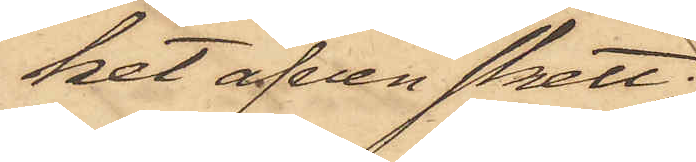ket äfven skett;
